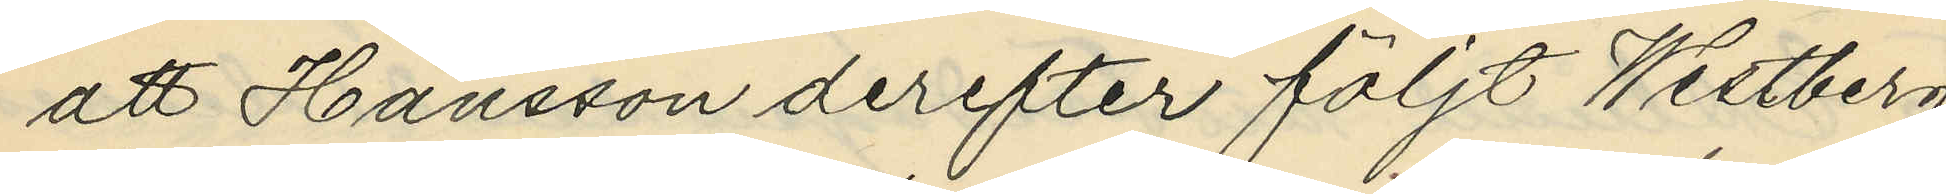att Hansson derefter följt Westberg
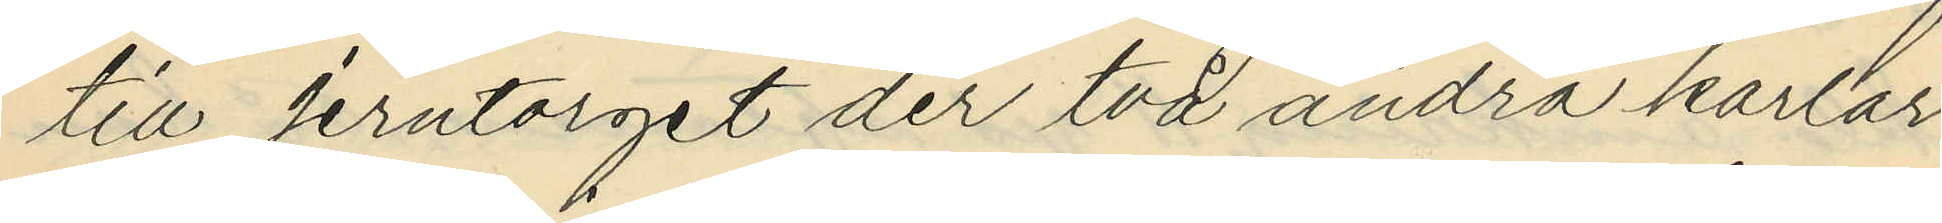till Jerntorget der två andra karlar
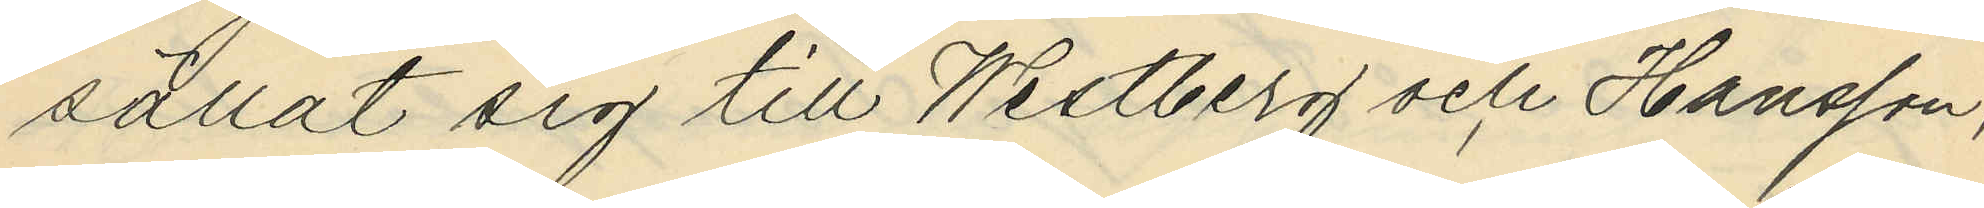sällat sig till Westberg och Hansson;
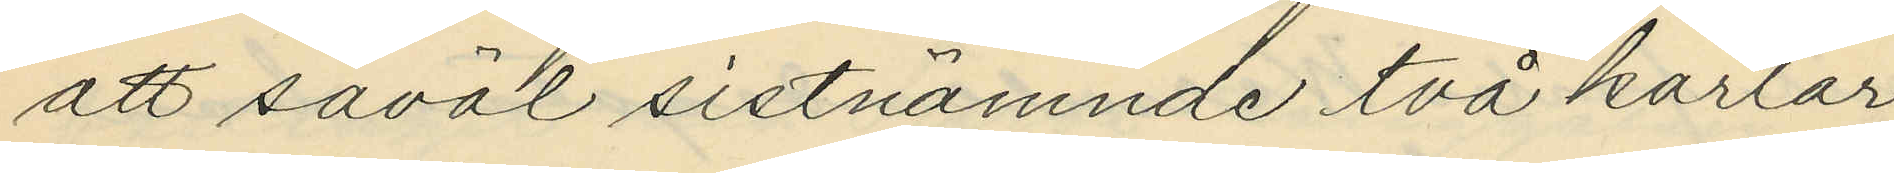att såväl sistnämnde två karlar
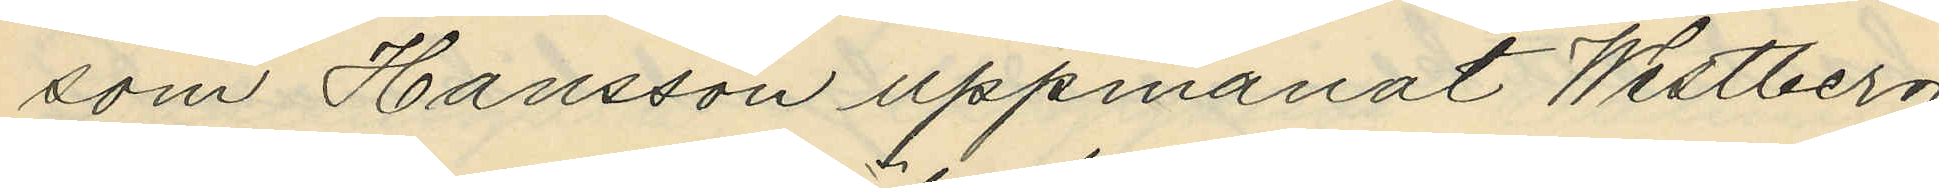som Hansson uppmanat Westberg
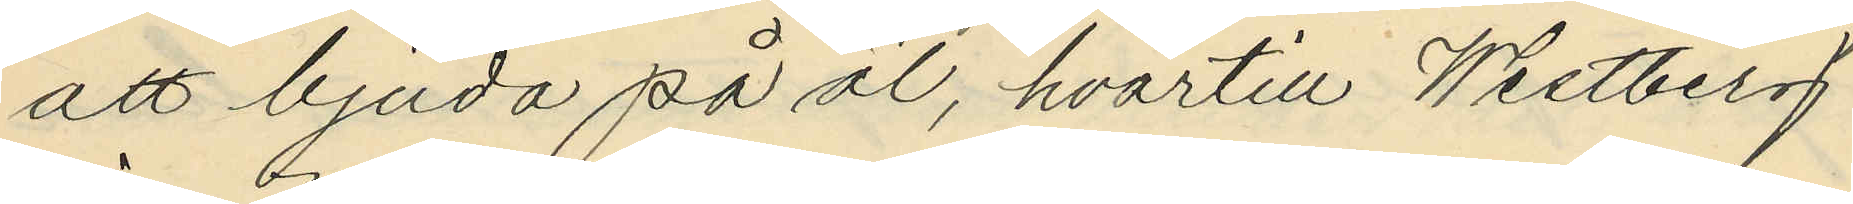att bjuda på öl, hvartill Westberg
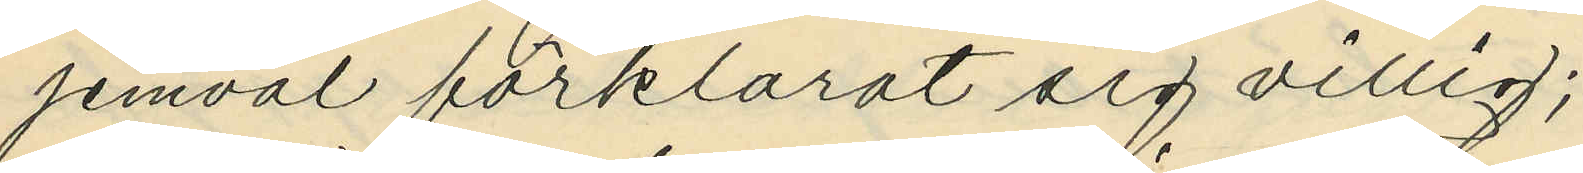jemväl förklarat sig villig;
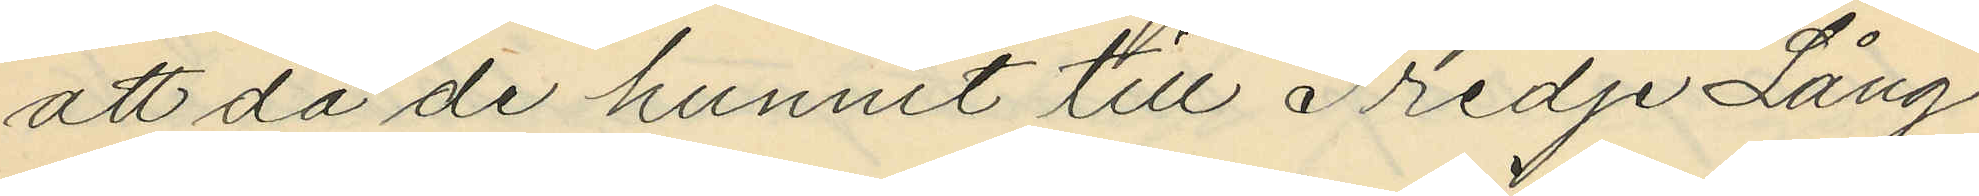att då de hunnit till Tredje Lång¬
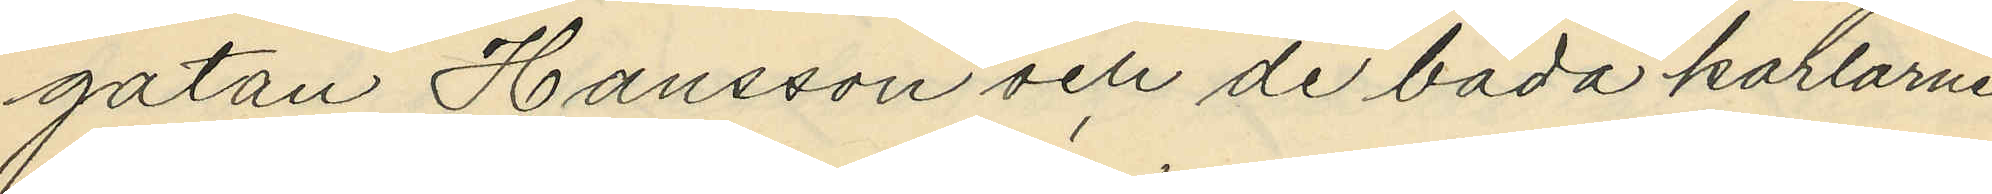gatan Hansson och de båda karlarne
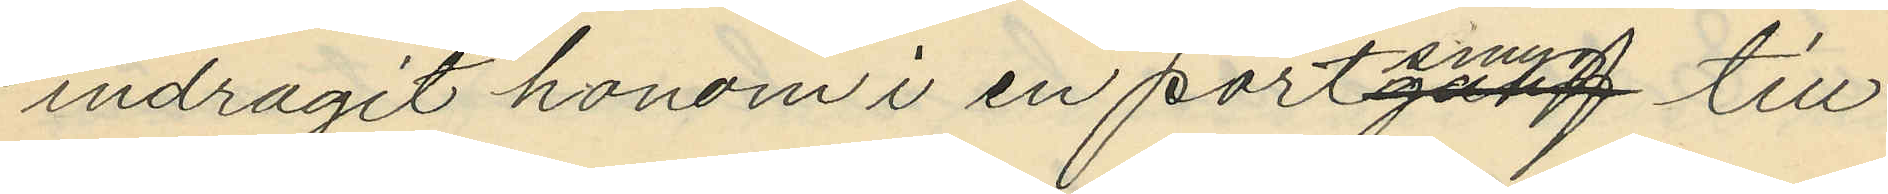indragit honom i en portsmyg till
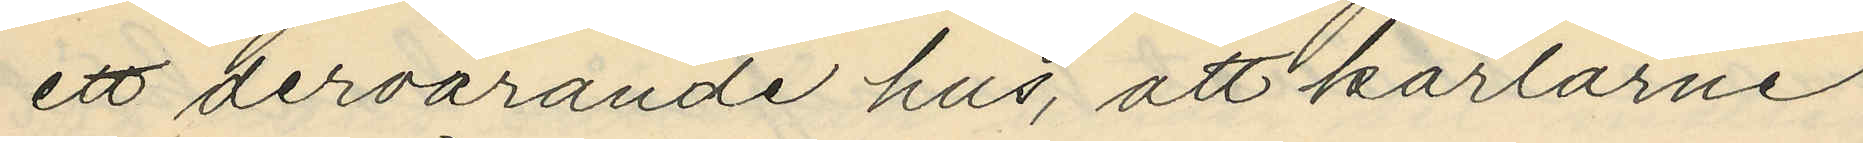ett dervarande hus, att karlarne
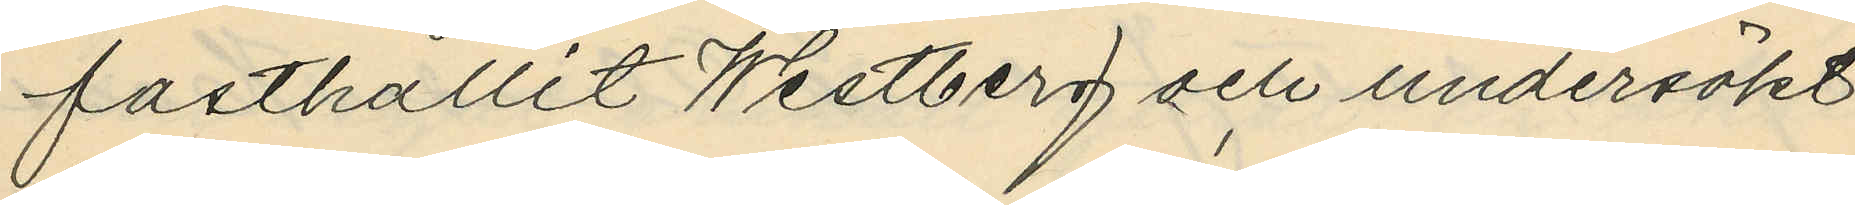fasthållit Westberg och undersökt
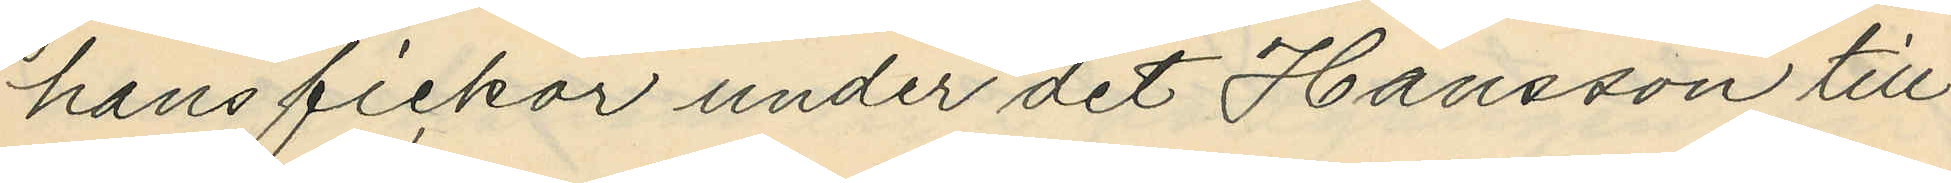hans fickor under det Hansson till¬
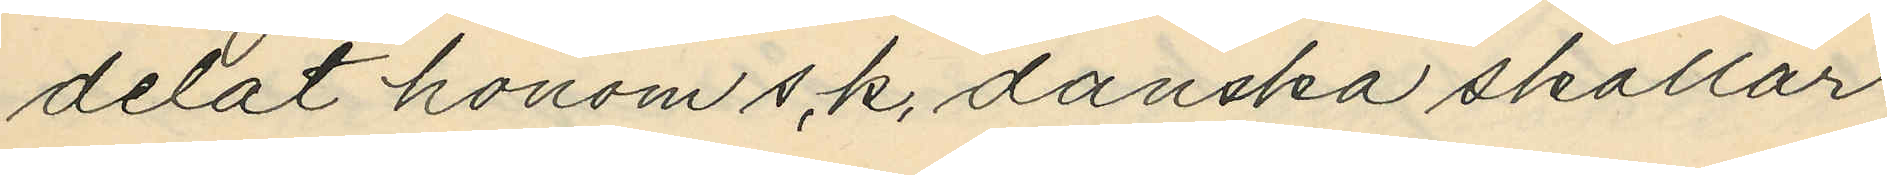delat honom s,k, danska skallar
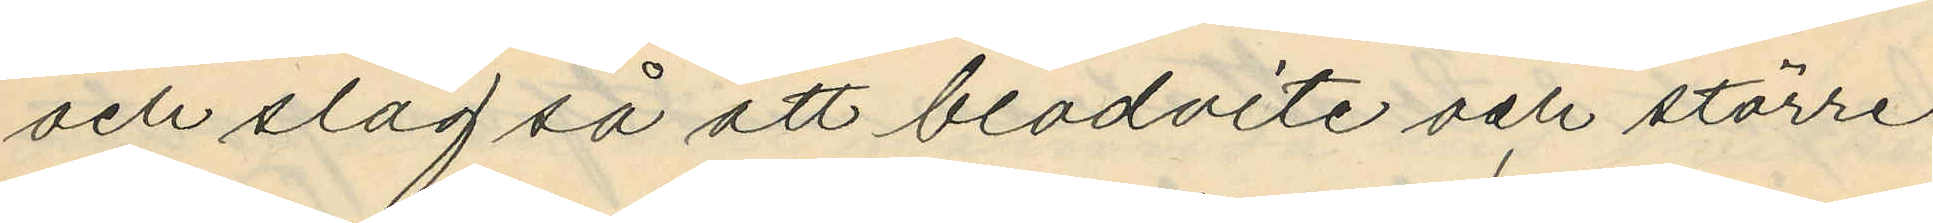och slag så att blodvite och större
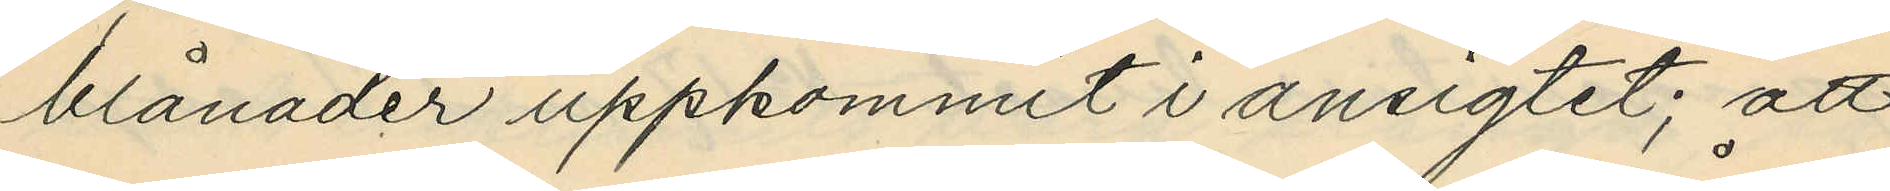blånader uppkommit i ansigtet; att
